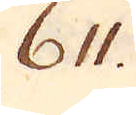611.
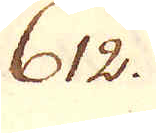612.
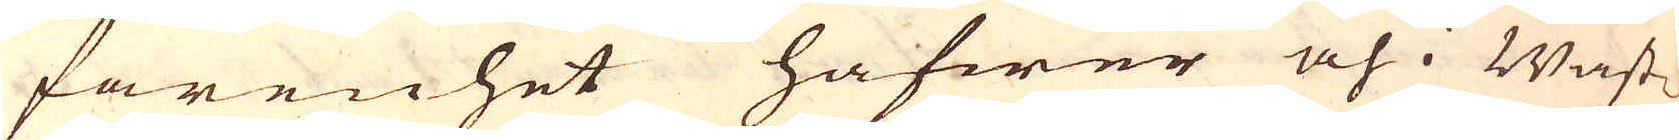farenhet hafwer och i Wäst-
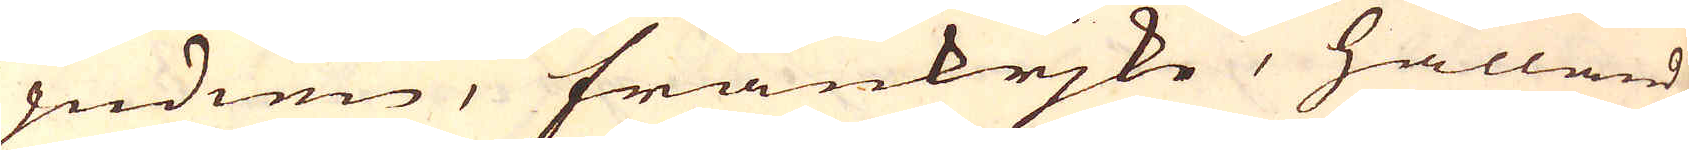indien, frankrjke, hålland
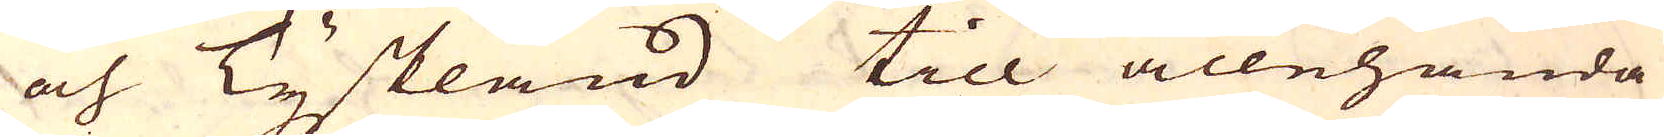och Tyskland till allehanda
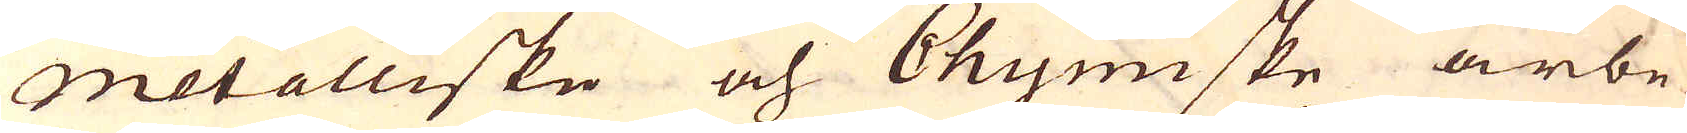Metalliske och Chymiske arbe-
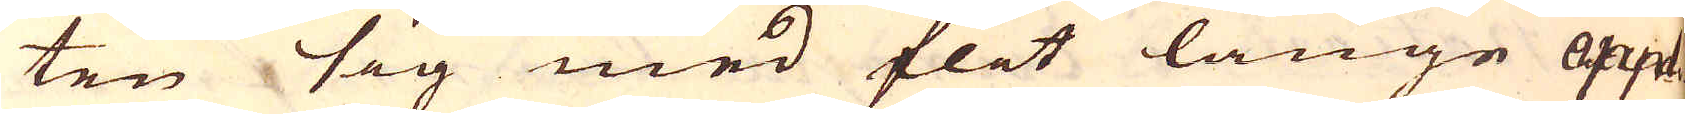ten sig med flit länge Appli-
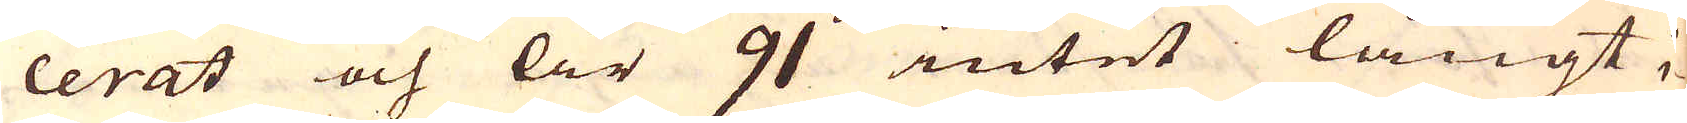cerat och år 91 intet långt i-
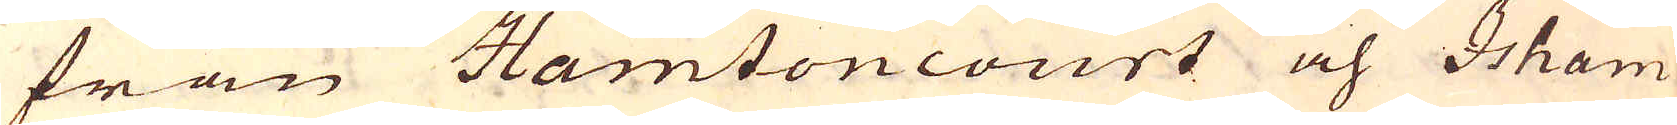från Hamtoncourt och Isham
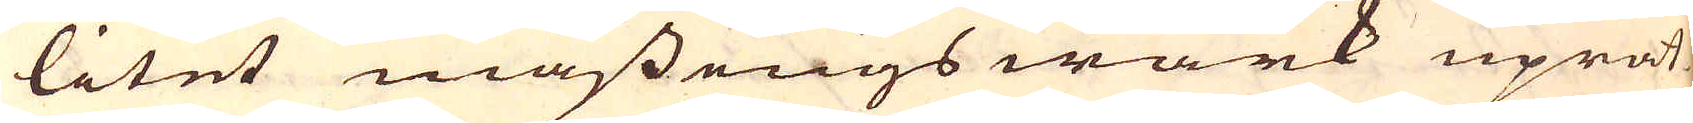litet mässings wärk uprät-
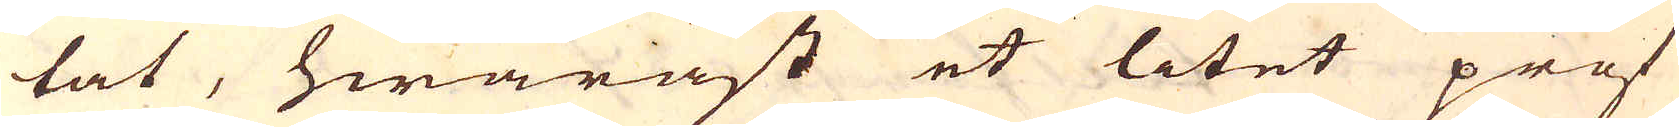tat, hwaräst et litet prof
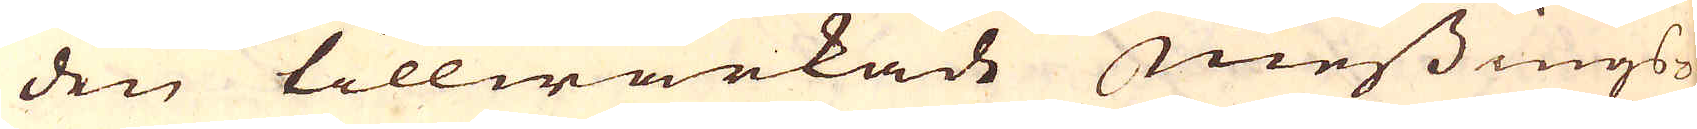den tillwärkade messings-
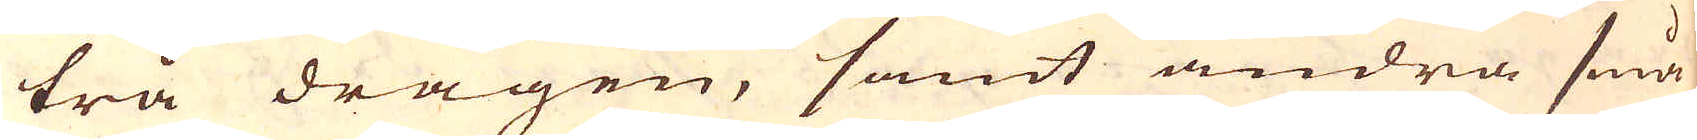trå dragen, samt andra små
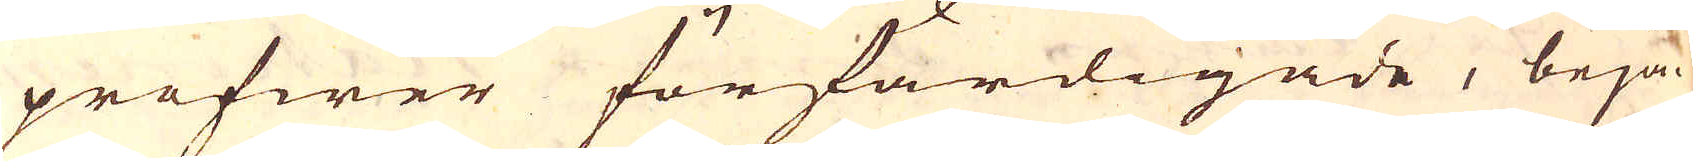profwer förfärdigade, beja-
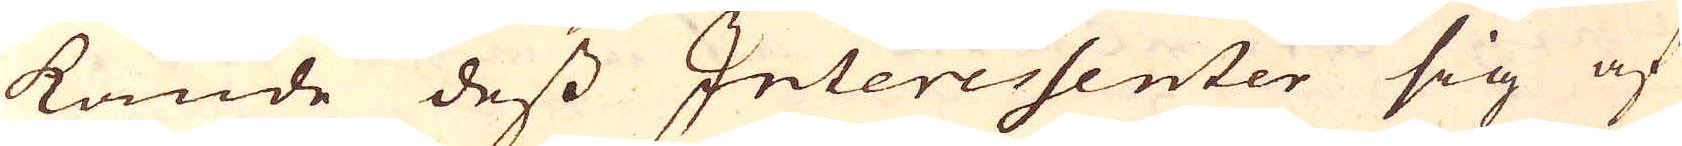kande dess Interessenter sig af
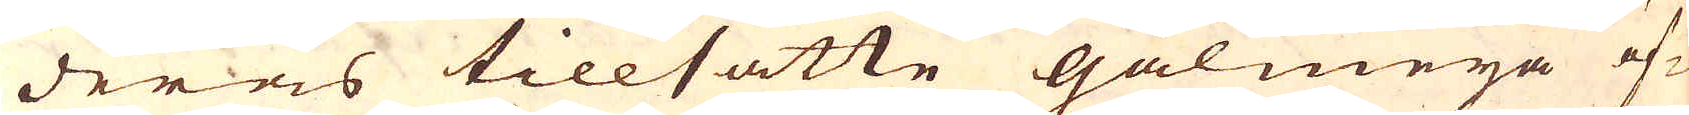deras tillsatte galmeija öf-
